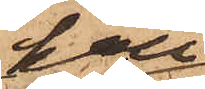han
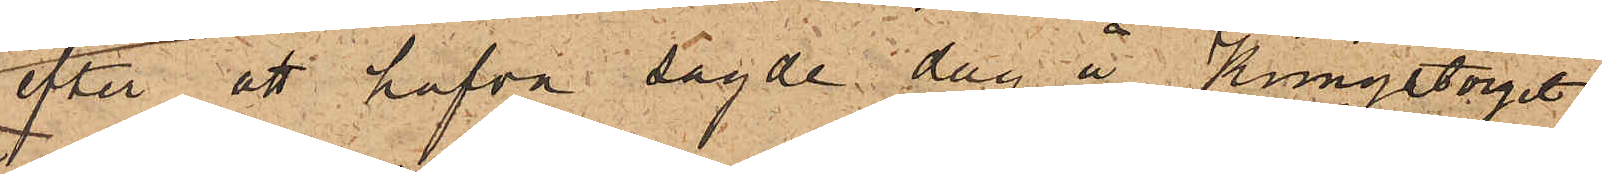efter att hafva sagde dag å Kungstorget
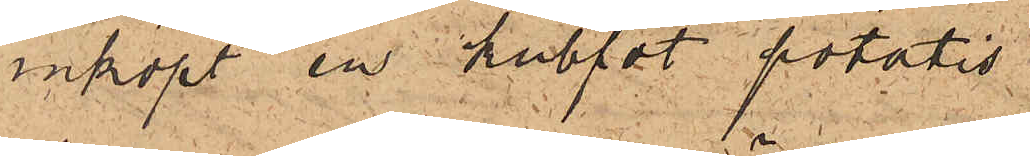inköpt en kuffat potatis
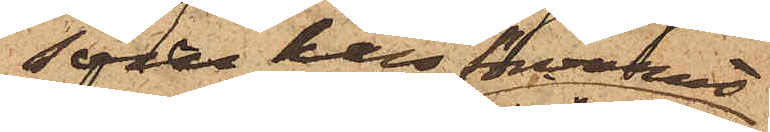som han förvarat
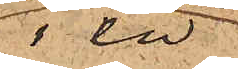 i en
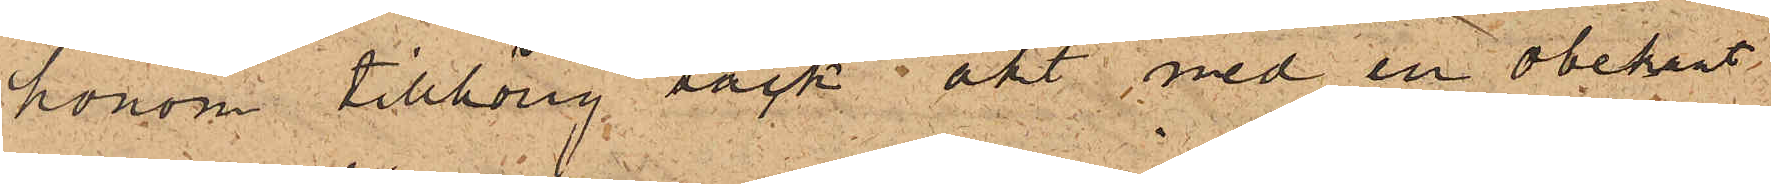honom tillhörig säck åkt med en obekant
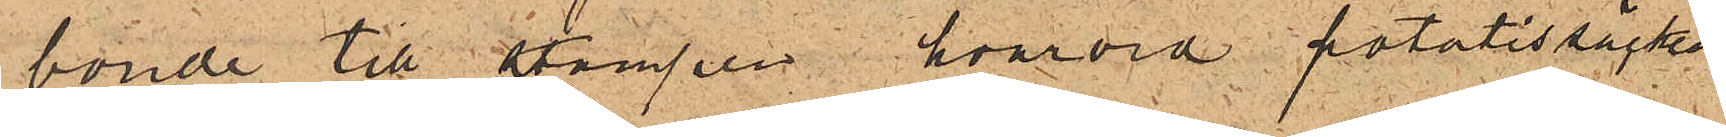bonde till stampen, hvarvid potatissäcken
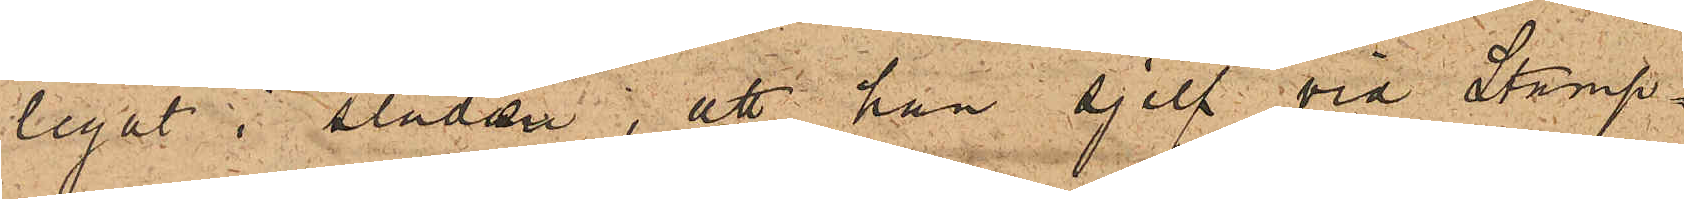legat i släden; att han sjelf vid Stamp¬
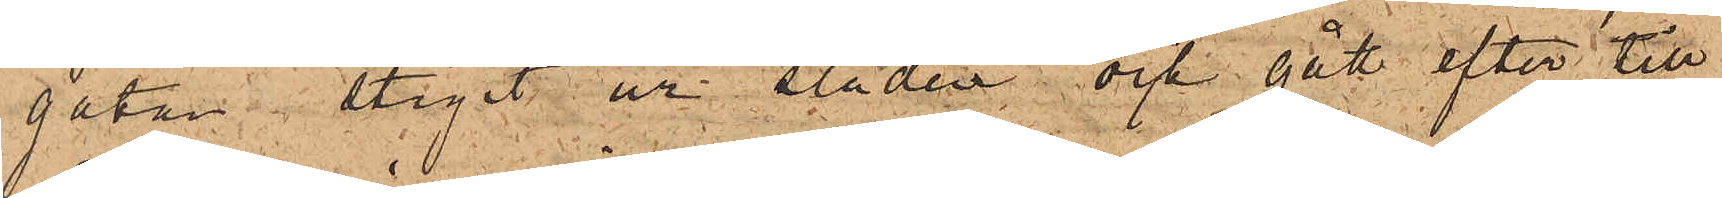gatan stigit ur släden och gått efter till
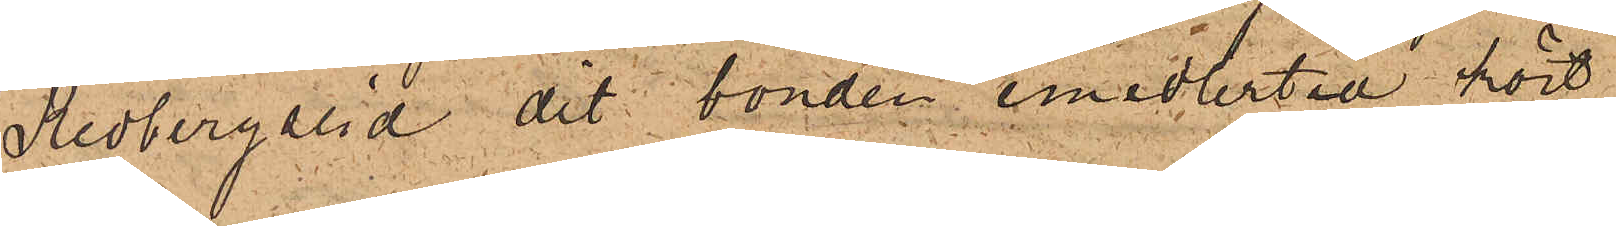Redbergslid dit bonden emedlertid kört
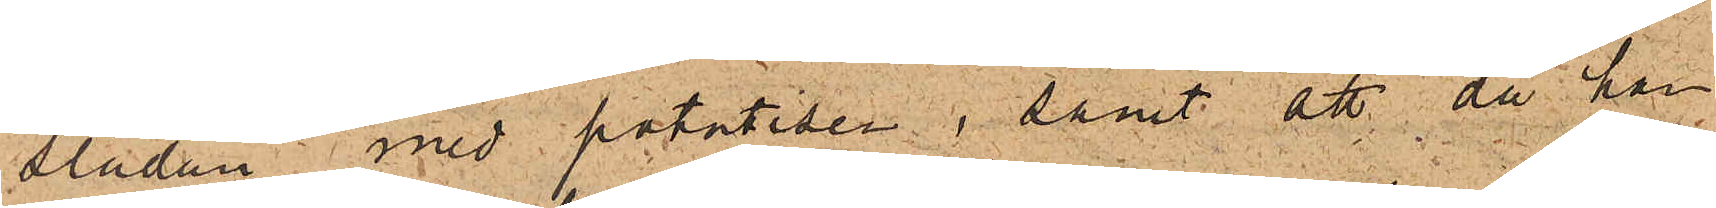släden med potatisen; samt att då han
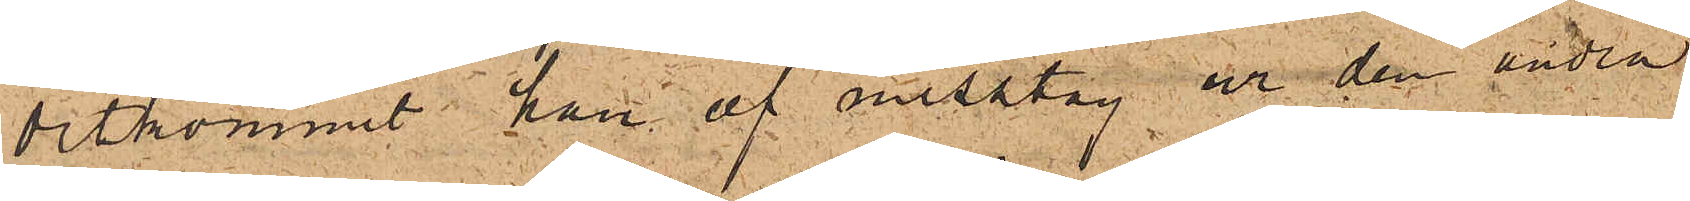ditkommit han af misstag ur den andra
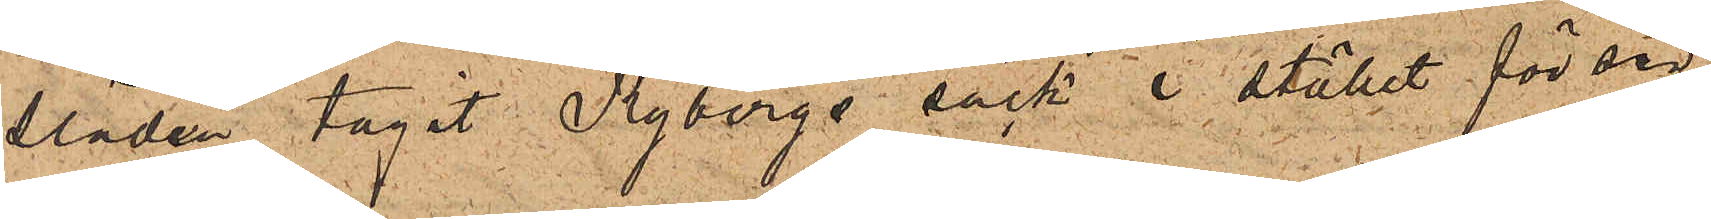släden tagit Rybergs säck i stället för sin
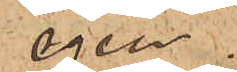egen.
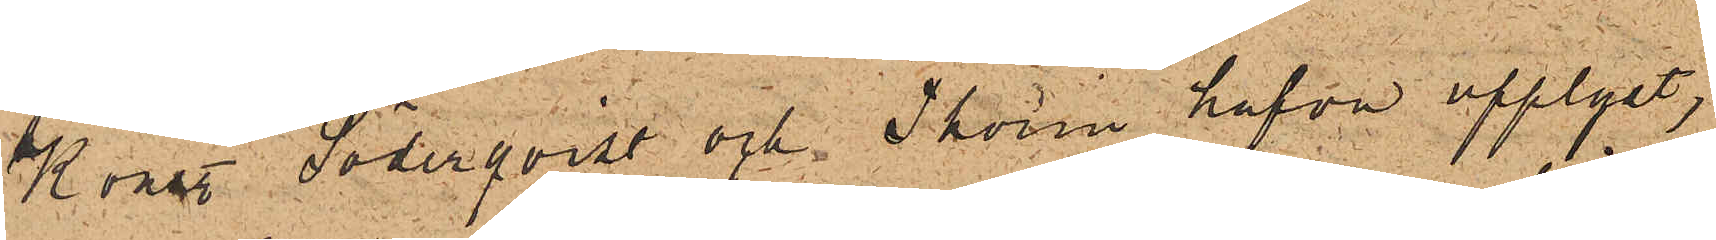Konst Söderqvist och Thorin hafva upplyst,
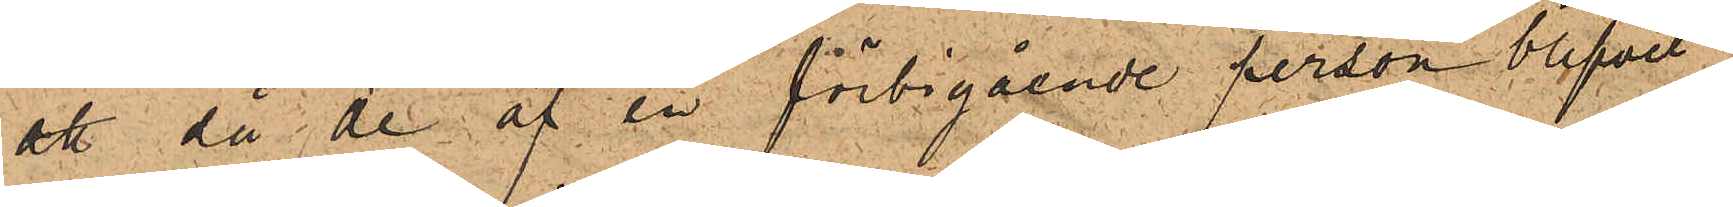att då de af en förbigående person blifvit
